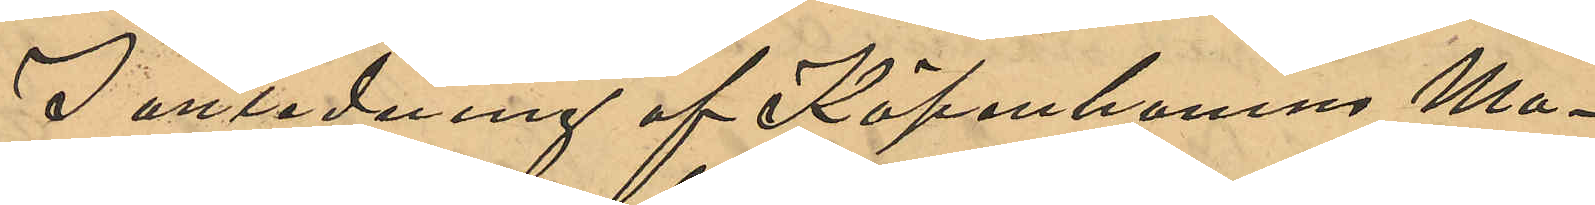I anledning af Köpenhamns Ma¬
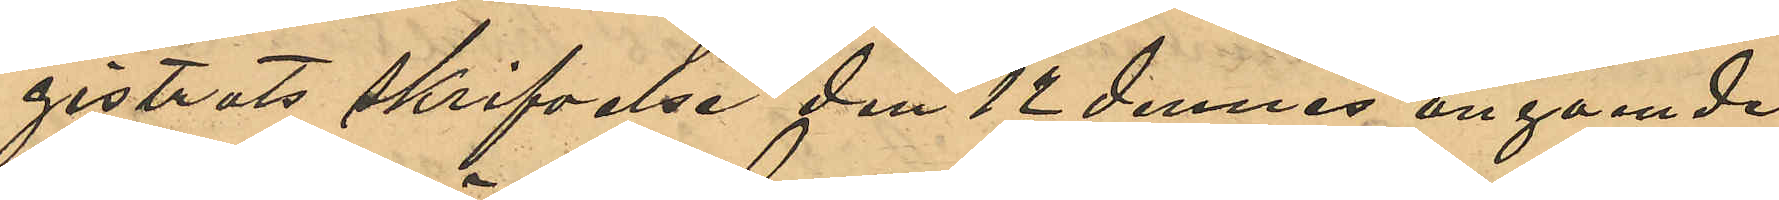gistrats skrifvelse den 12 dennes angående
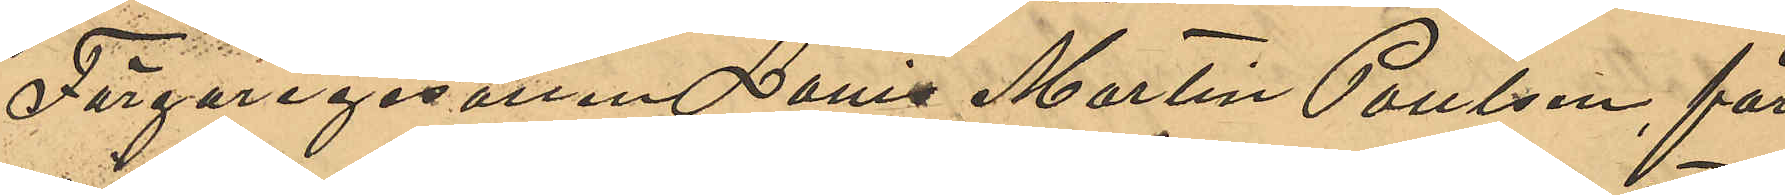Färgaregesällen Louis Martin Poulsen får
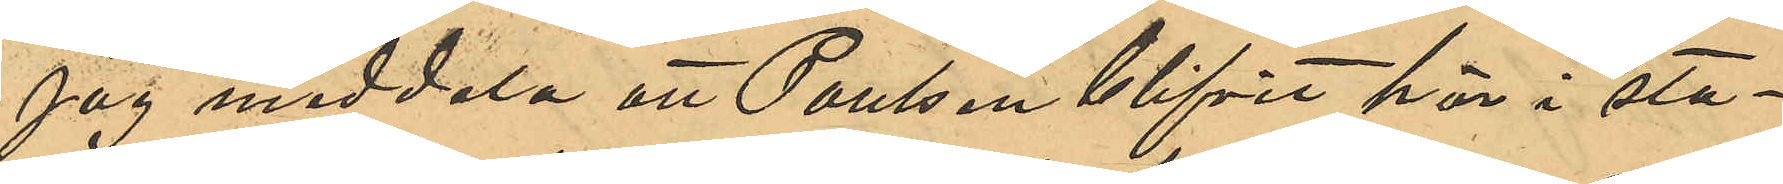jag meddela att Poulsen blifvit här i sta¬
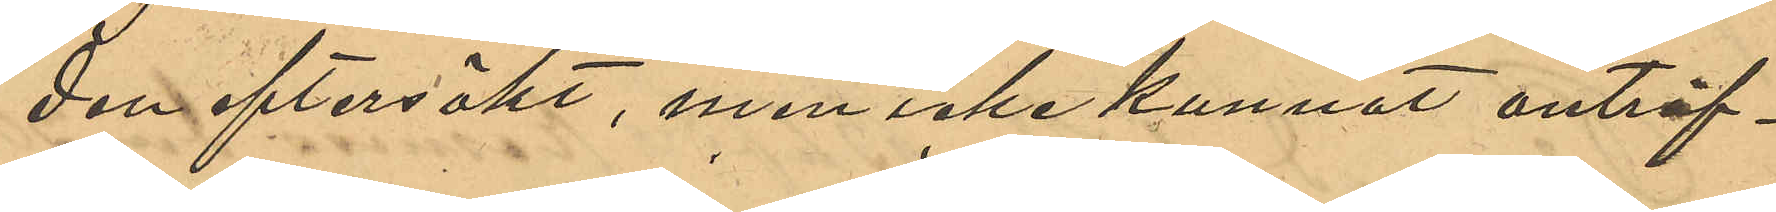den eftersökt, men icke kunnat anträf¬
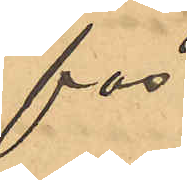fas.
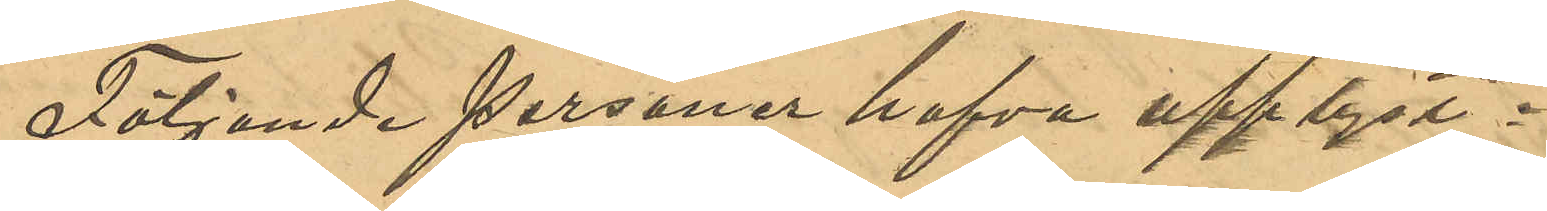Följande personer hafva upplyst:
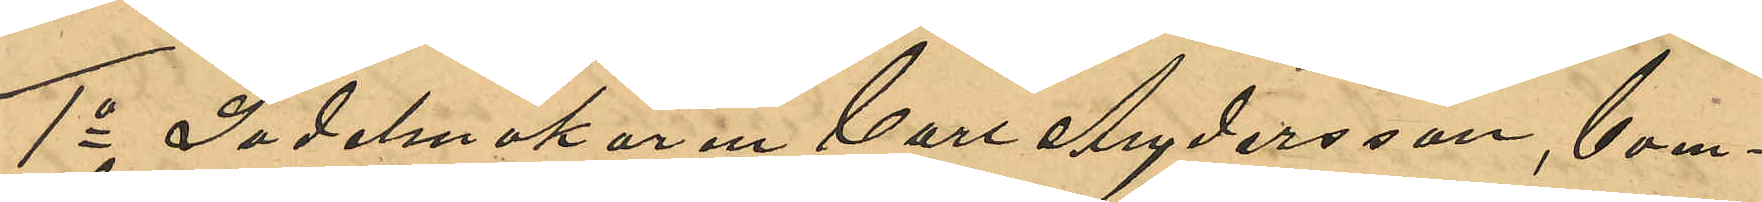1o Sadelmakaren Carl Andersson,boen¬
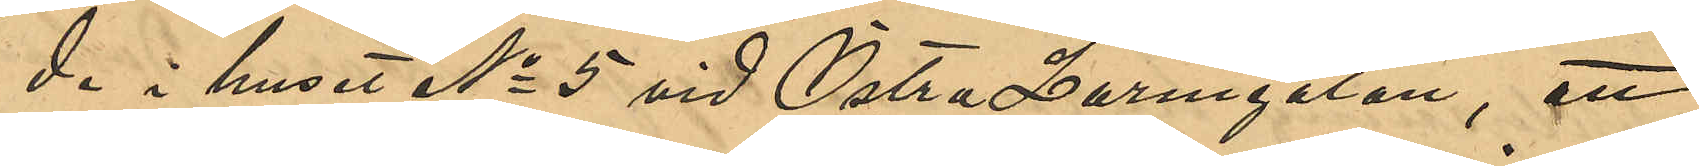de i huset No 5 vid Östra Larmgatan, att
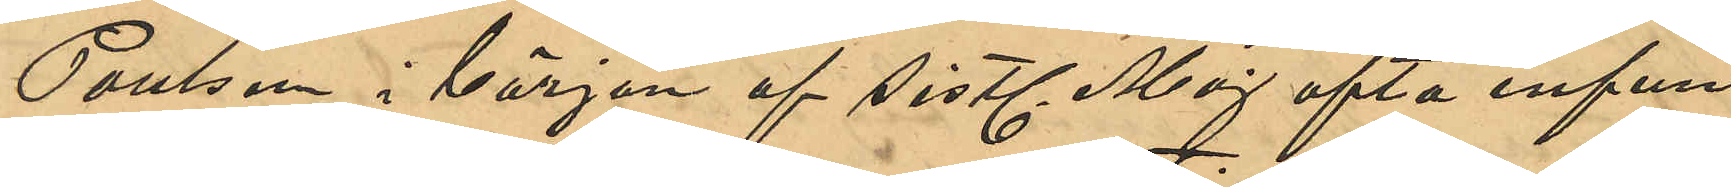Poulsen i början af sistl Maj ofta infun¬
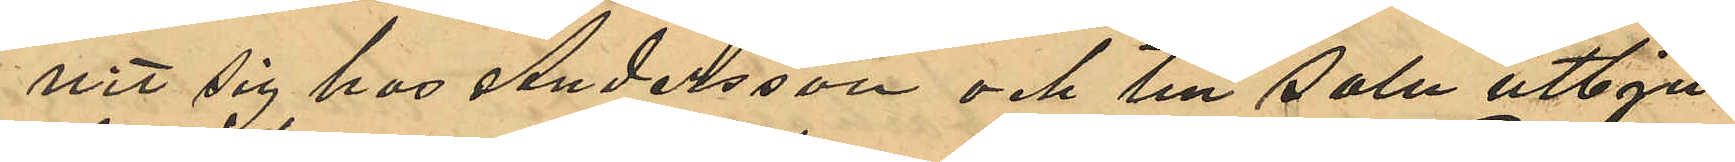nit sig hos Andersson och till salu utbju¬
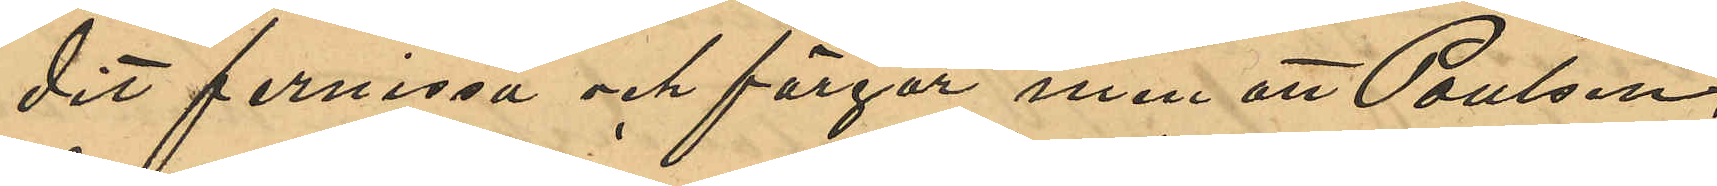dit fernissa och färger men att Poulsen,
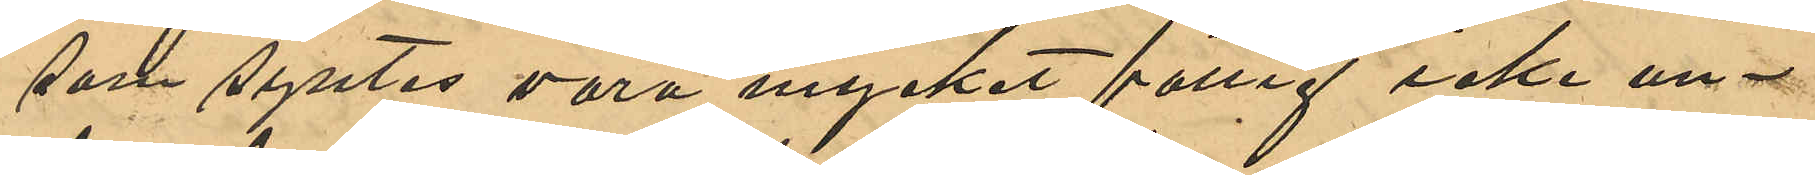som syntes vara mycket fattig icke un¬
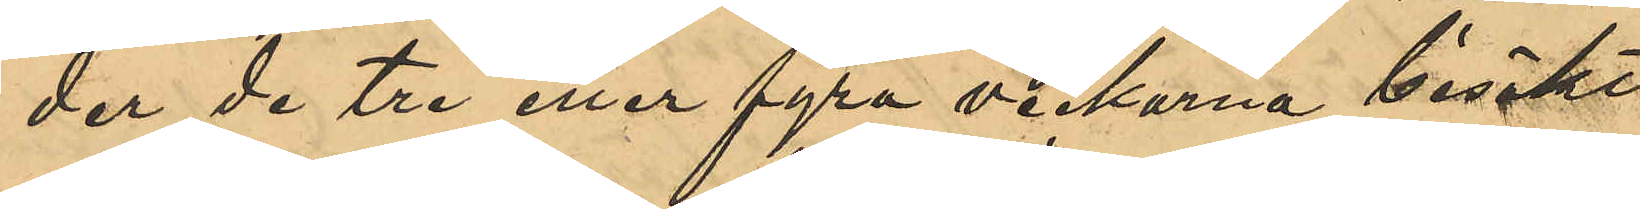der de tre eller fyra veckorna besökt
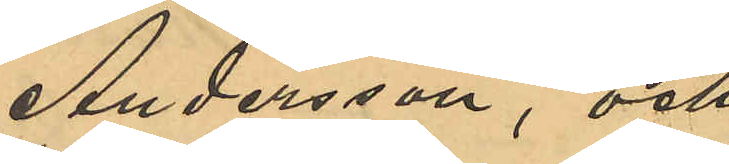Andersson, och
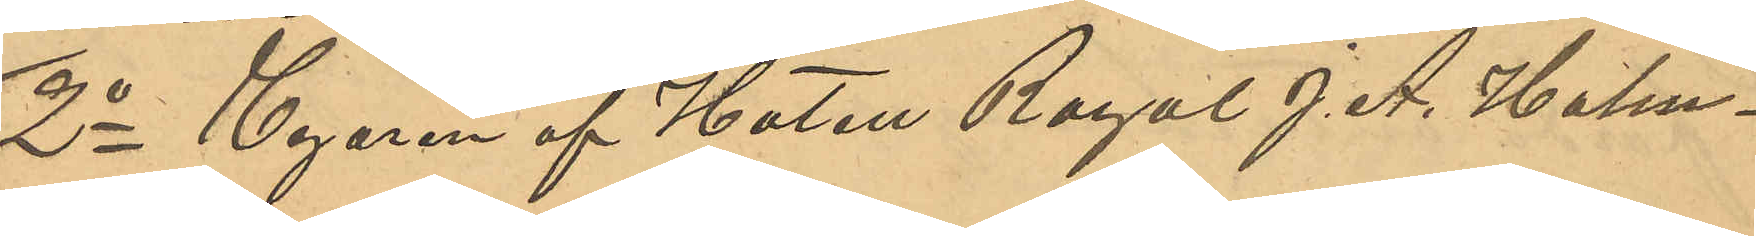2o Egaren av Hotell Royal J. A. Holm¬
